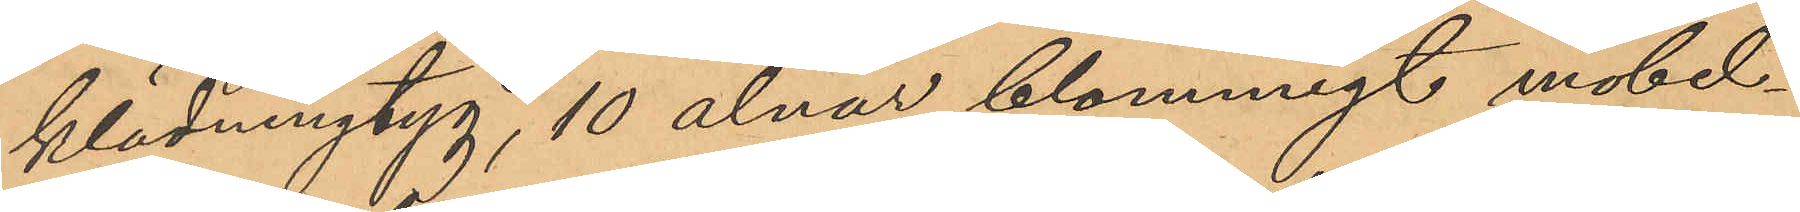klädningtyg, 10 alnar blommigt möbel¬
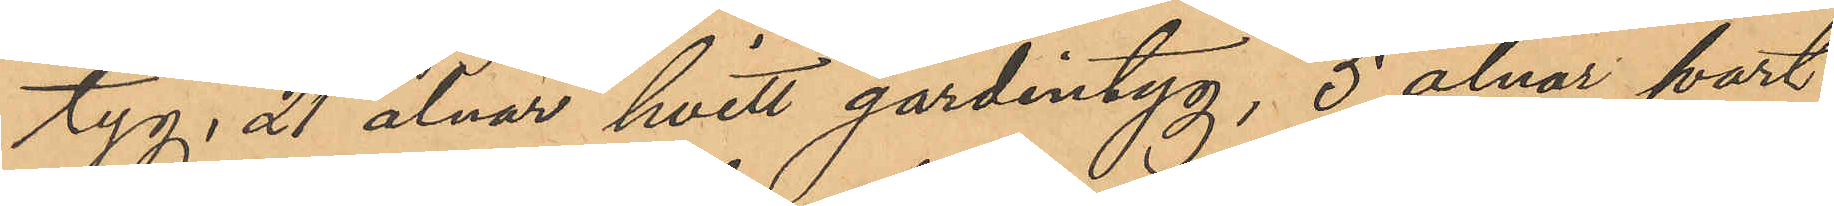tyg, 21 alnar hvitt gardintyg, 5 alnar svart
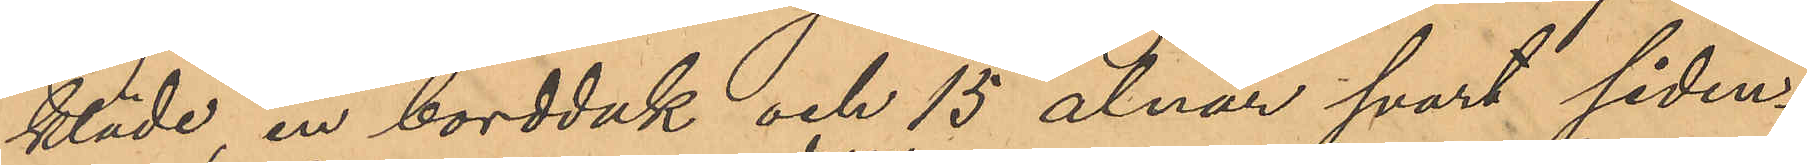kläde, en bordduk och 15 alnar svart siden¬
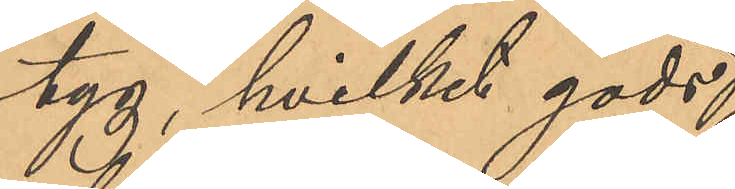tyg, hvilket gods
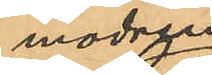modern
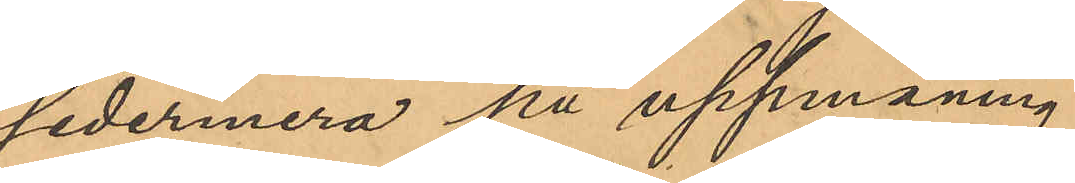sedermera på uppmaning
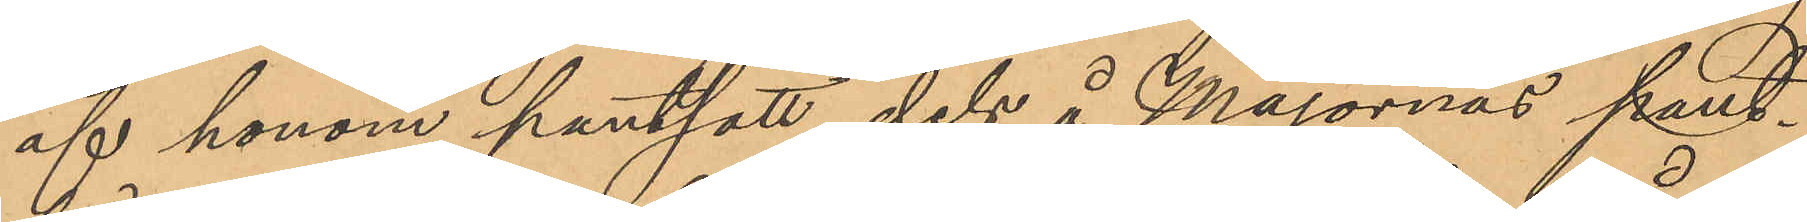af honom pantsatt dels å Majornas pant¬
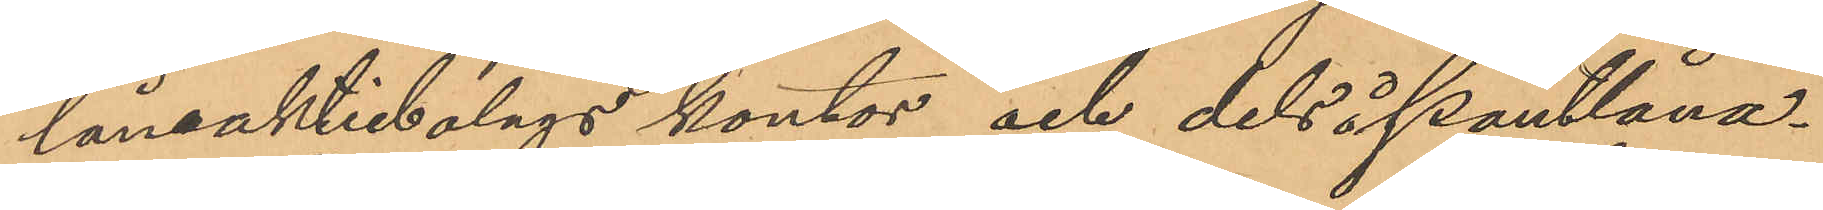låneaktiebolags kontor och dels å pantlåna¬
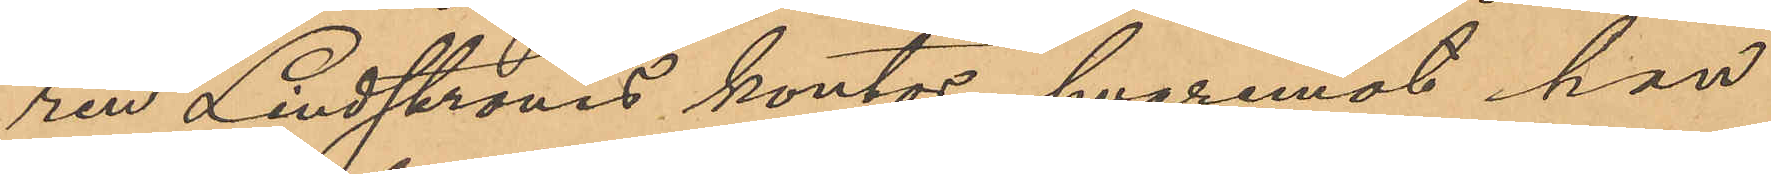ren Lindströms kontor, hvaremot han
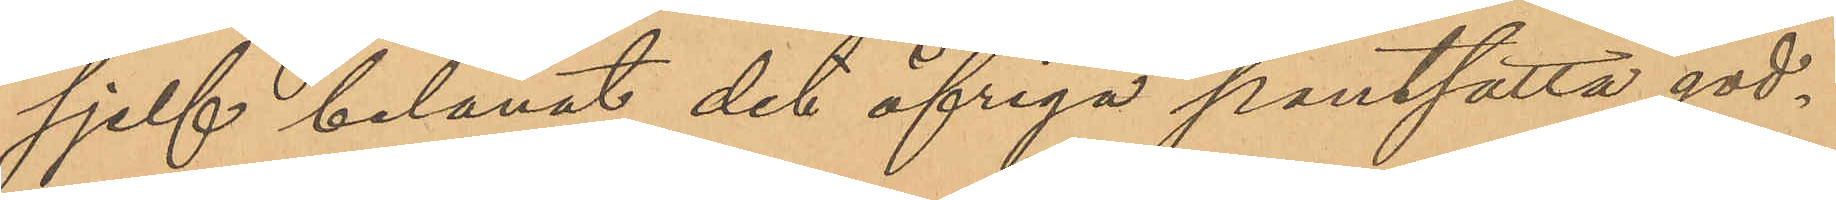sjelf belånat det öfriga pantsatta god¬
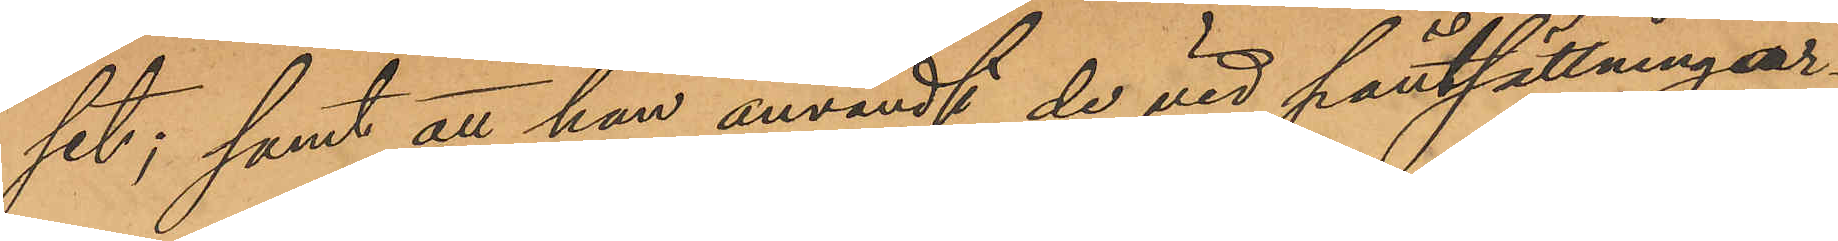set; samt att han användt de vid pantsättningar¬
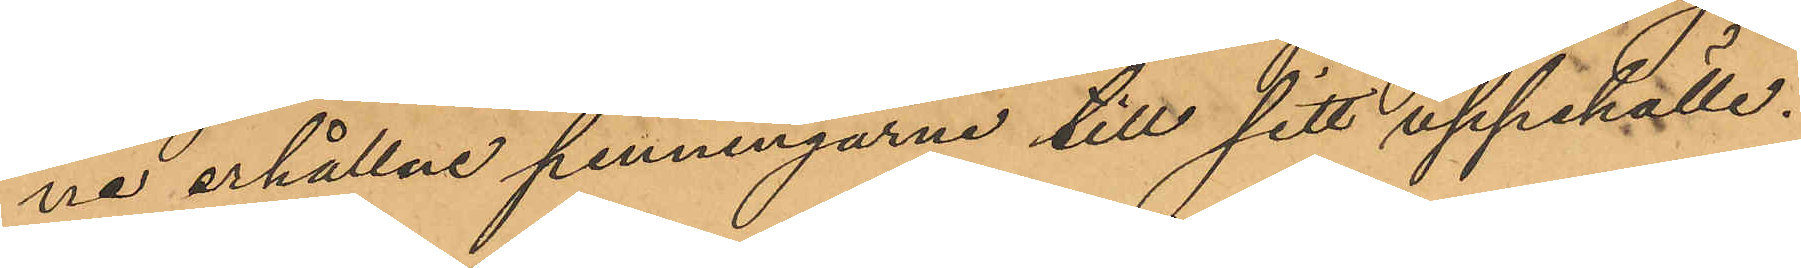na erhållne penningarne till sitt uppehälle.
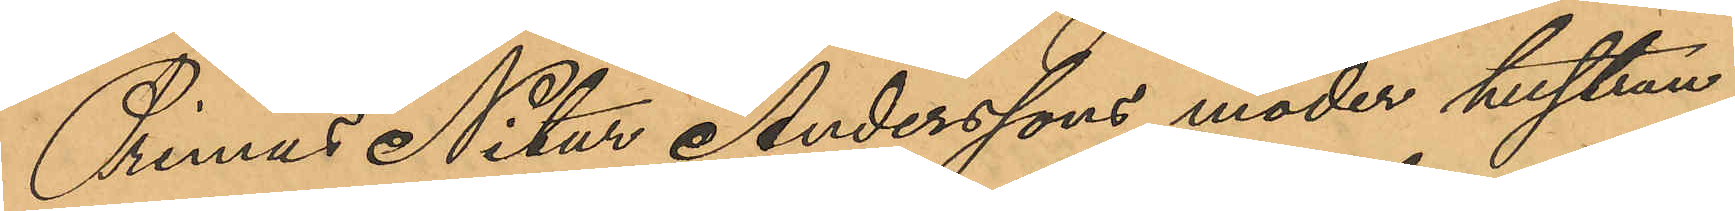Primus Nitur Anderssons moder hustrun
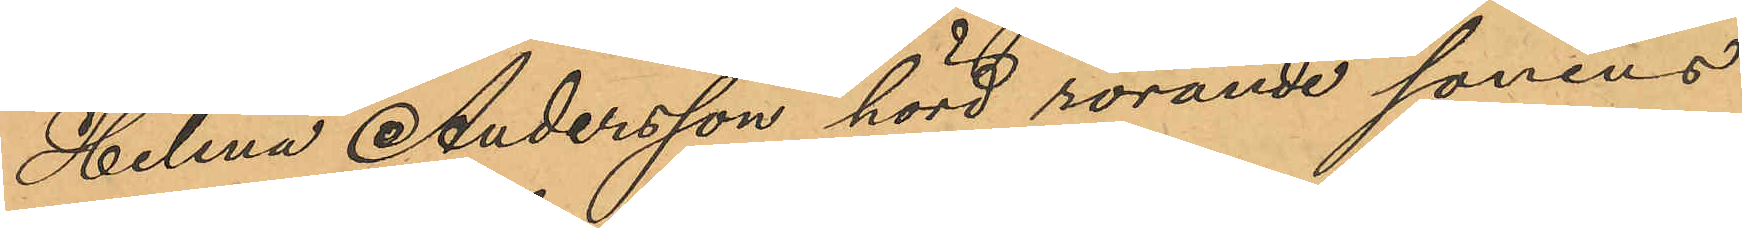Helena Andersson hörd rörande sonens
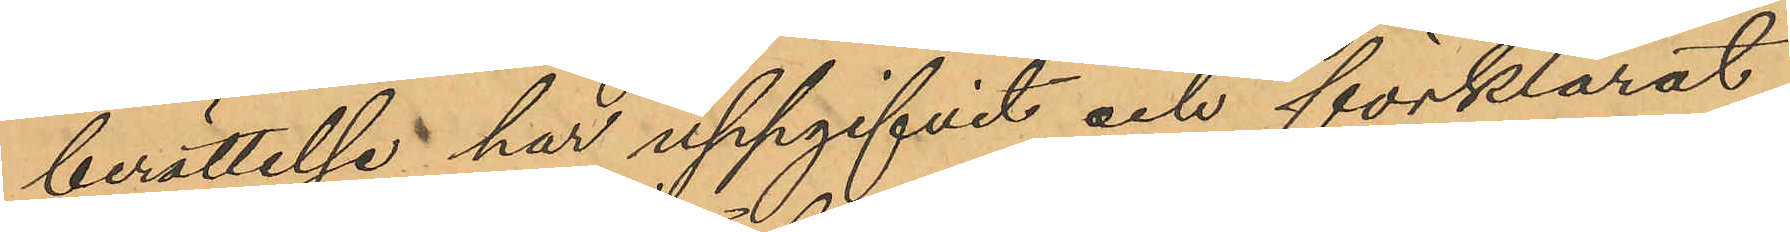berättelse har uppgifvit och förklarat,
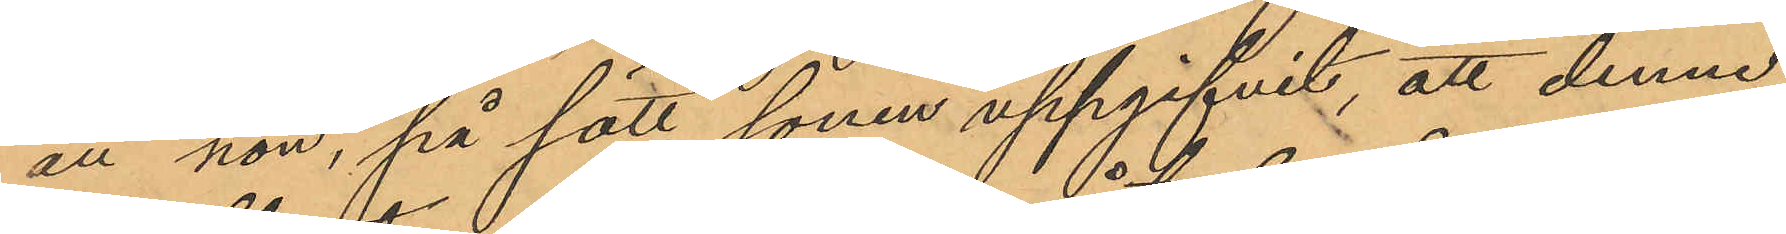att hon, på sätt sonen uppgifvit, att denne
